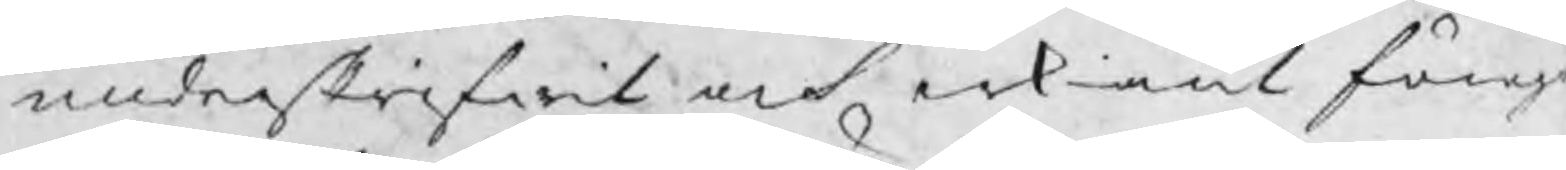underskrifwit och erkiänt föreg
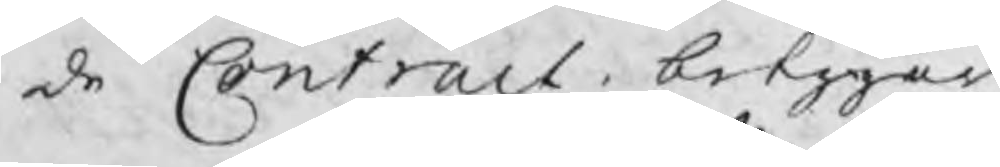de Contract betygar
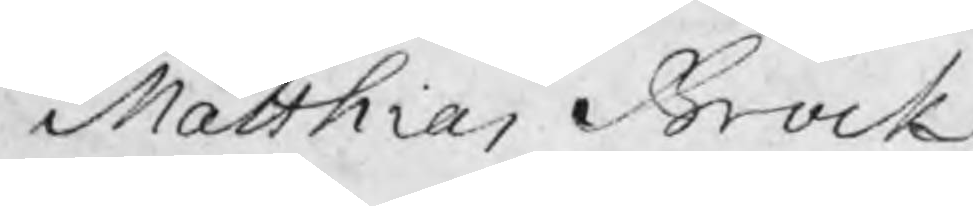Matthias Brock
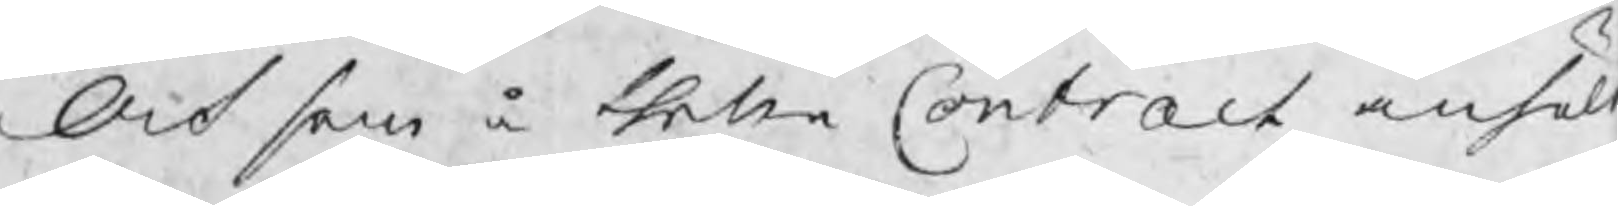Och som å thetta Contract anhölt
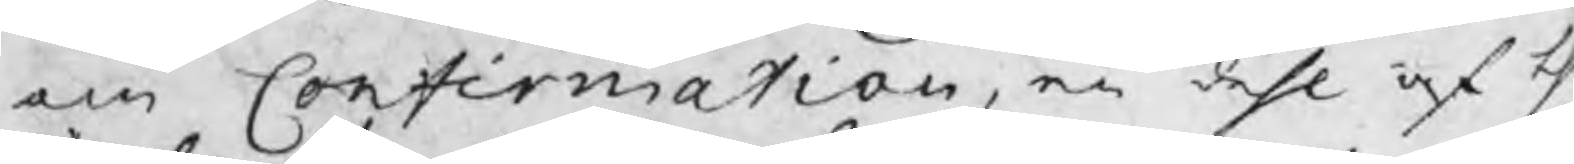om Confirmation, en dehl af th
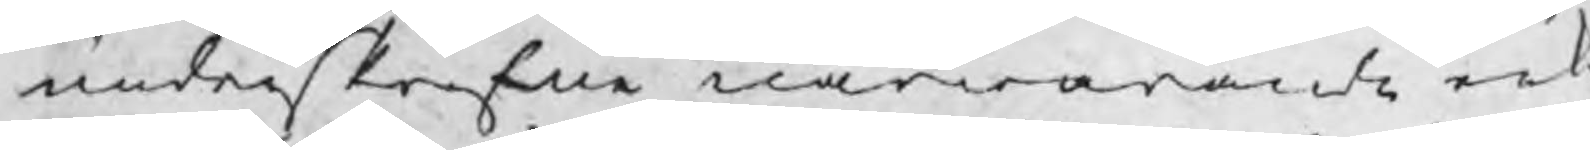underskrefne närwarande erk
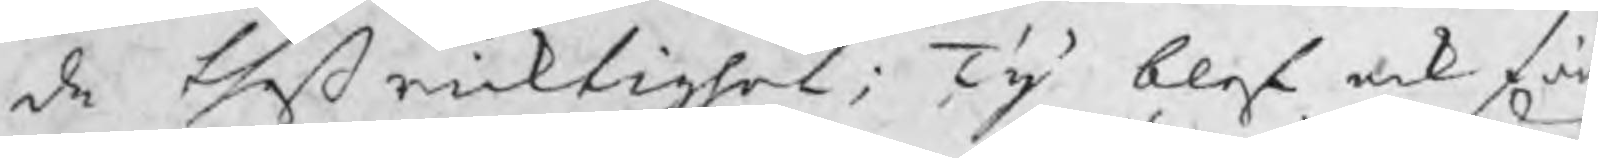de theß ricktighet; Ty blef ock fö
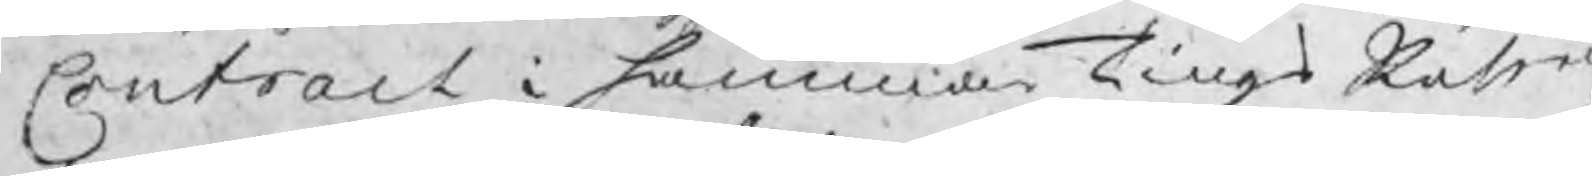Contract i hammarTingsRätten
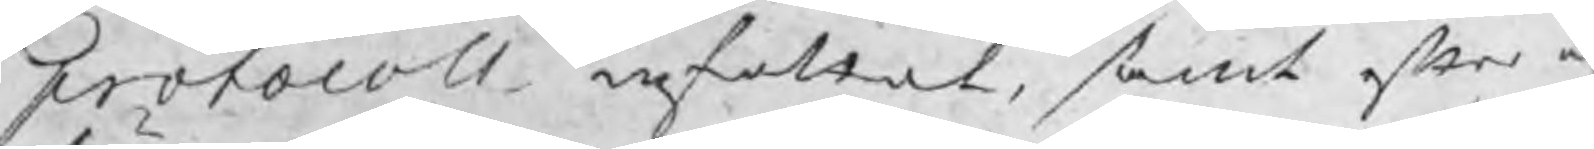protocoll infattat, samt efter å
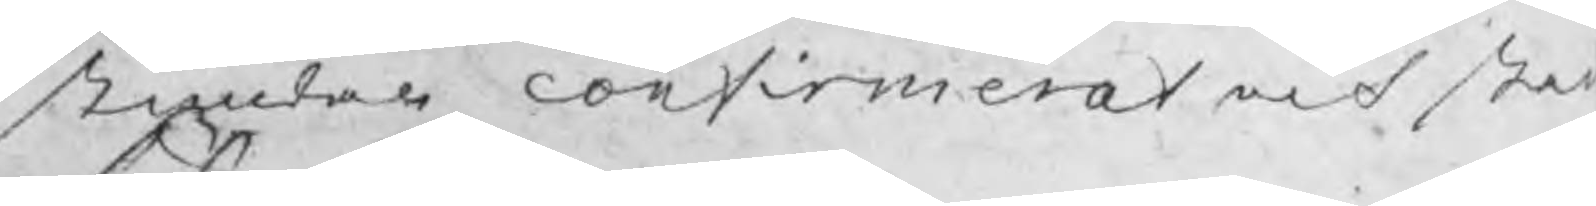stundan confirmerat och stad
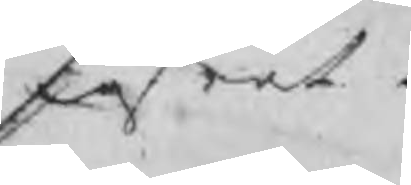fästat.
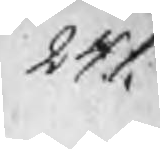241.
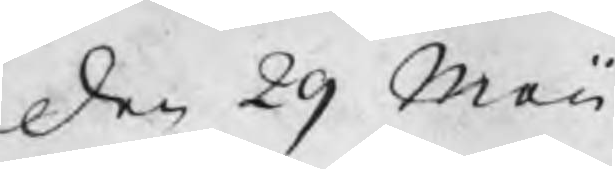den 29 Maii
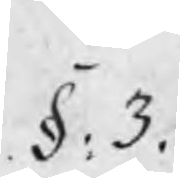§: 3.
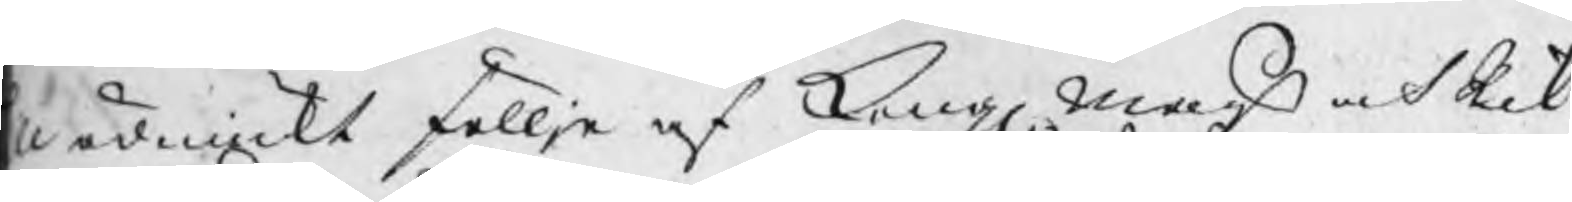ll ödmiuckt föllje af Kongl Majts och Rik¬
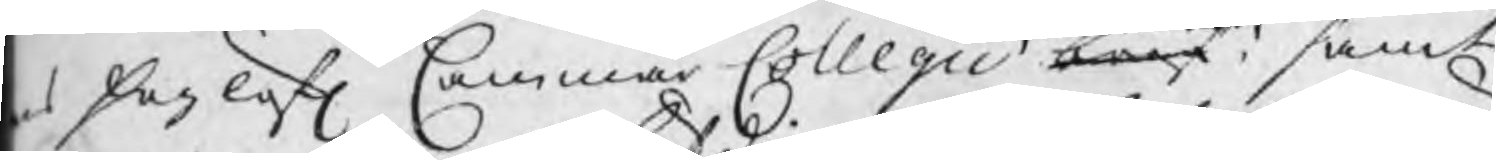s höglofl Cammar Collegii bref, samt
